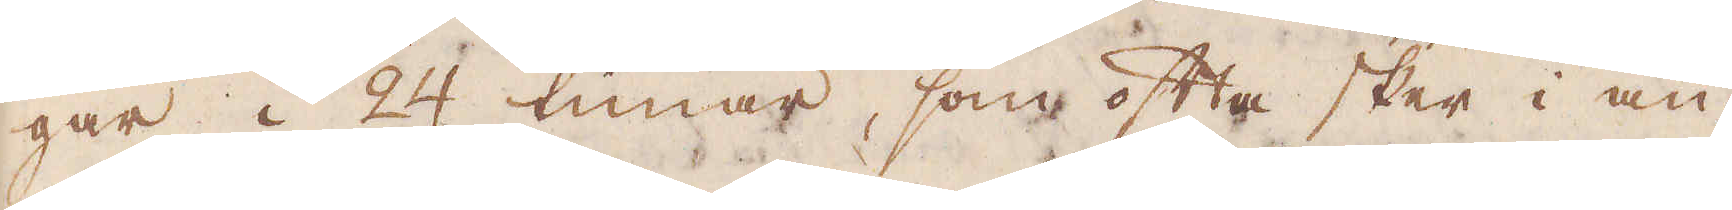gar i 24 timar, som ofta sker i an-
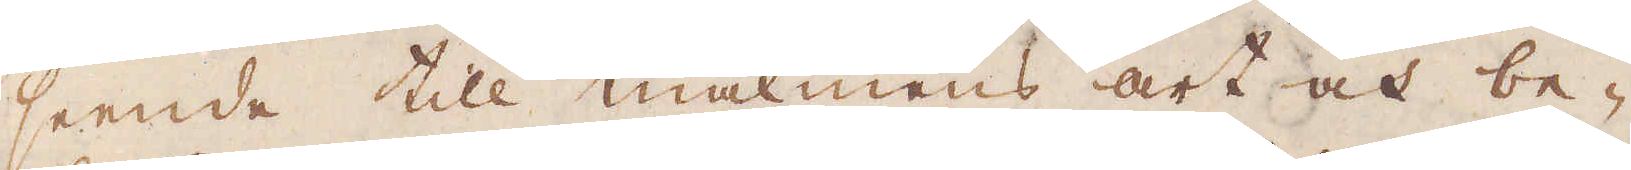seende till malmens art och be-
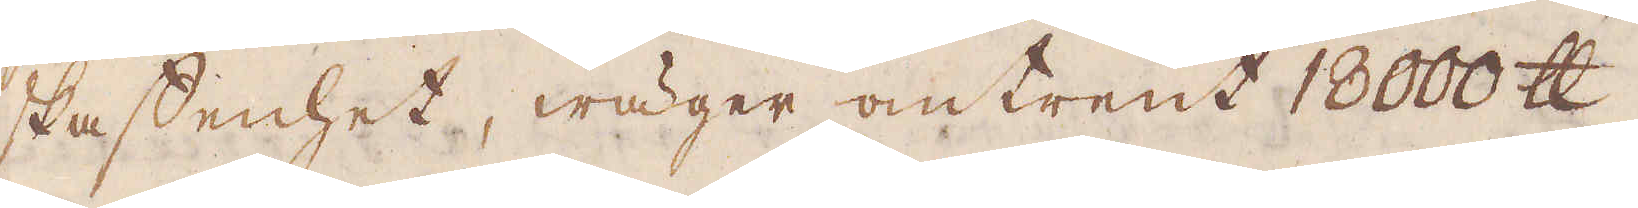skaffenhet, wäger omtrent 18000 skålpund.
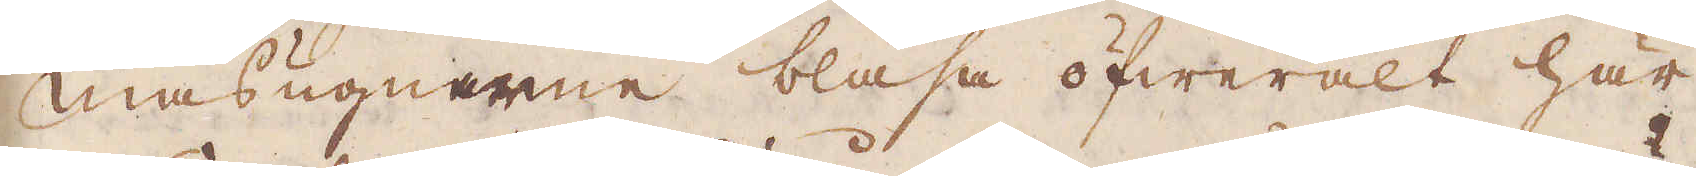Masugnarne blåsa öfweralt här
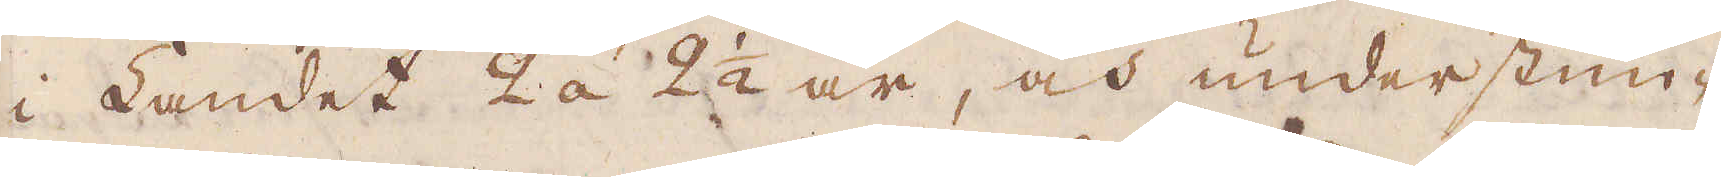i Landet 2 á 2 1/2 år, och understun-
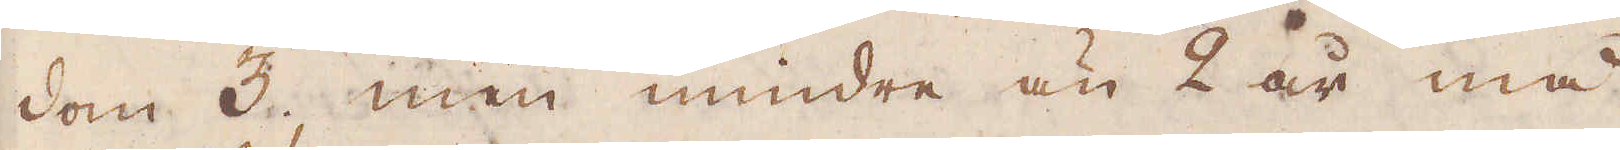dom 3, men mindre än 2 år må
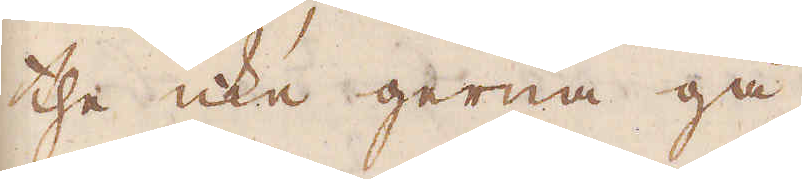the icke gerna gå.
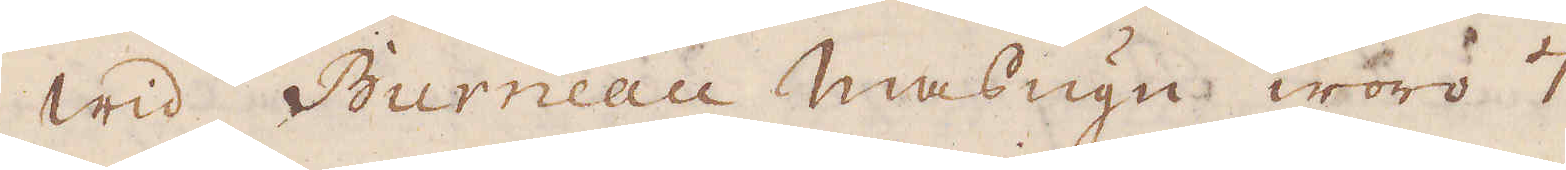Wid Burneau Masugn woro 7
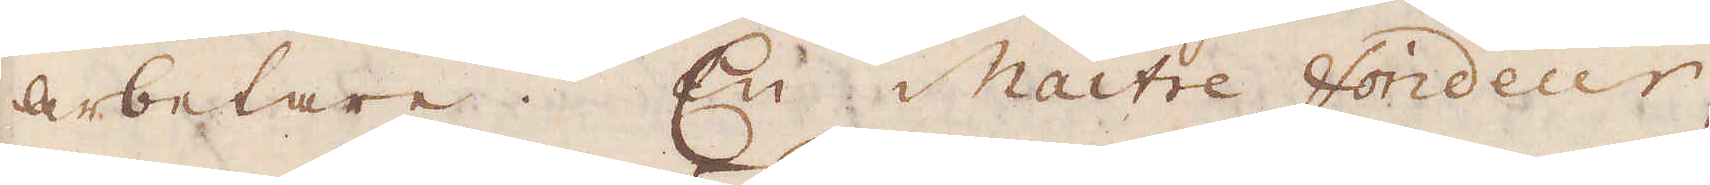arbetare. En Maitre Fondeur,
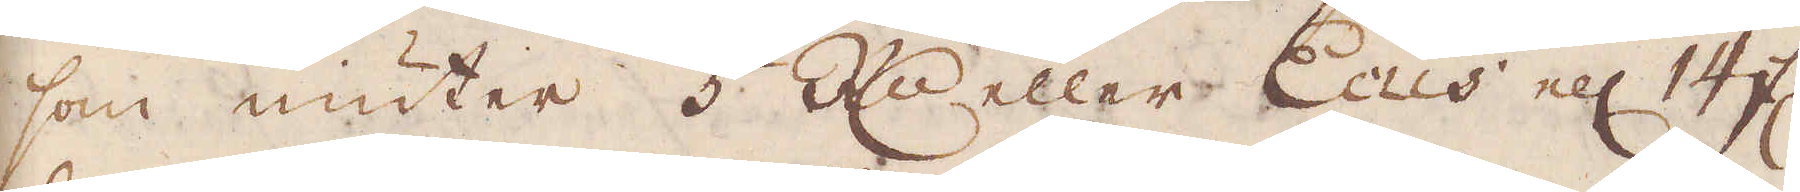som niuter 5 Rd:r eller Ecus ell: 14 fl
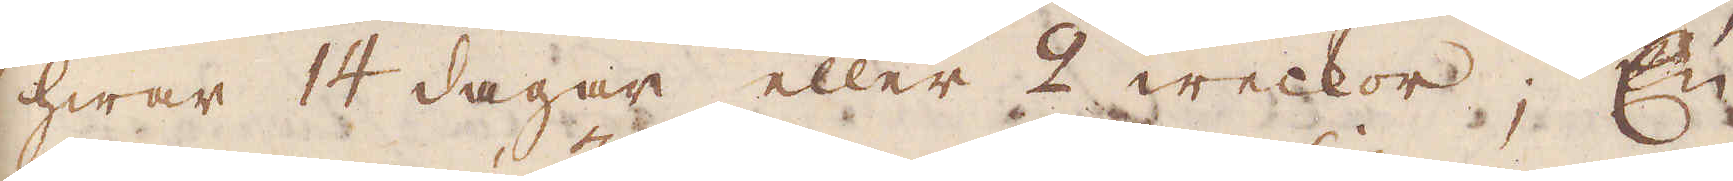hwar 14 dagar eller 2 weckor; En
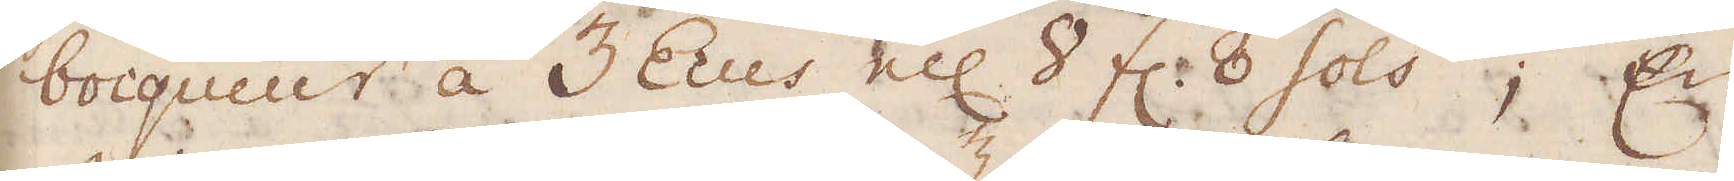boiqueur á 3 Ecus ell: 8 fl. 8 sols; En
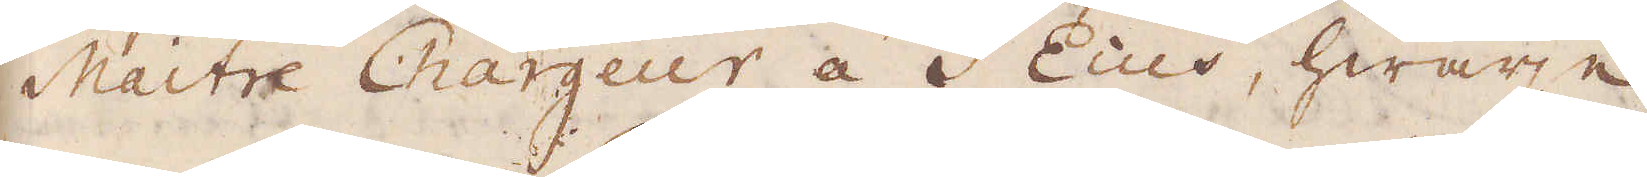Maitre Chargeur á 3 Ecus, hwarje
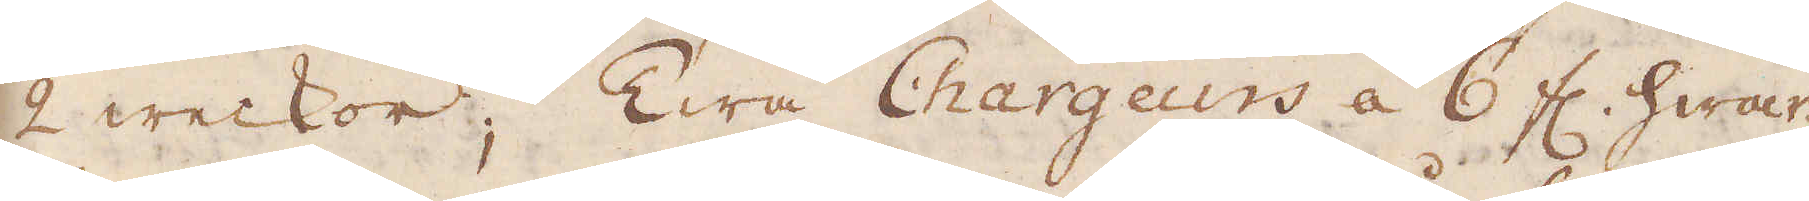2 weckor; Twå Chargeurs á 6 fl. hwar-
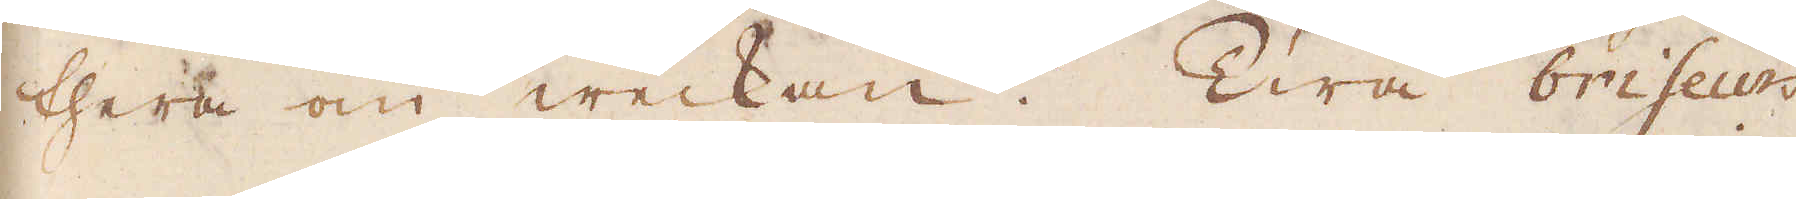thera om weckan. Twå briseurs
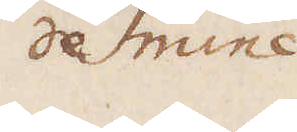de mine
